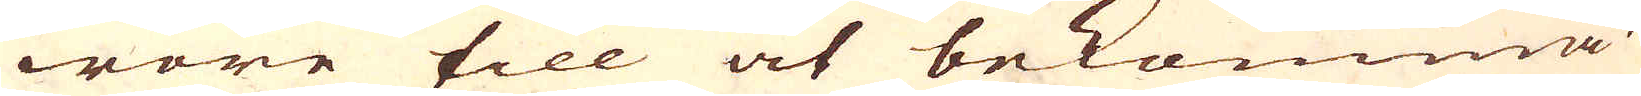wore till at bekomma
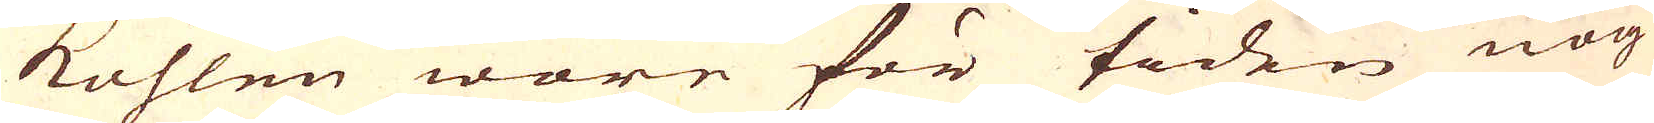kohlen wore för tiden nog
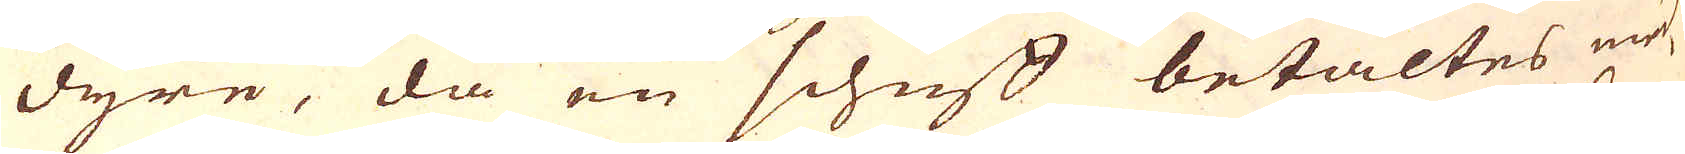dyre, då en schuff betaltes med
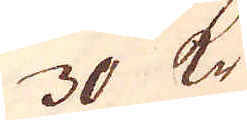30 Kr
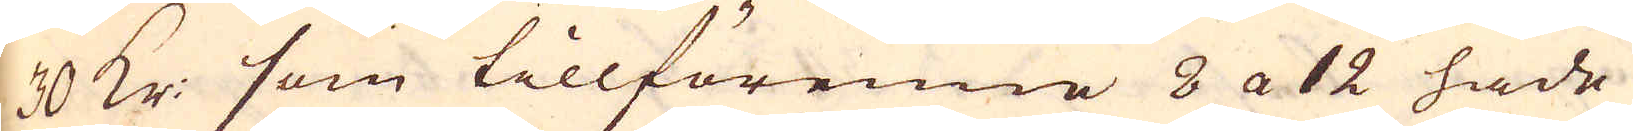30 kr som tillförenne 8 a 12 hade
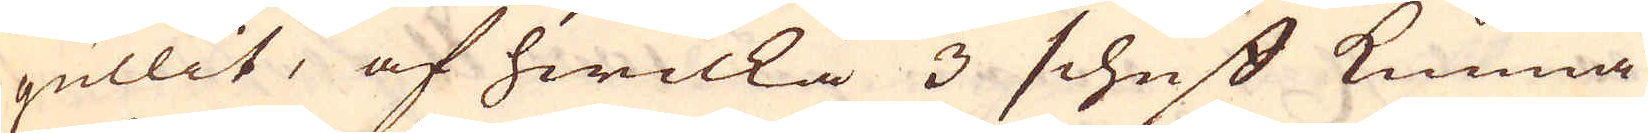gullit, af hwilka 3 schuff kunna
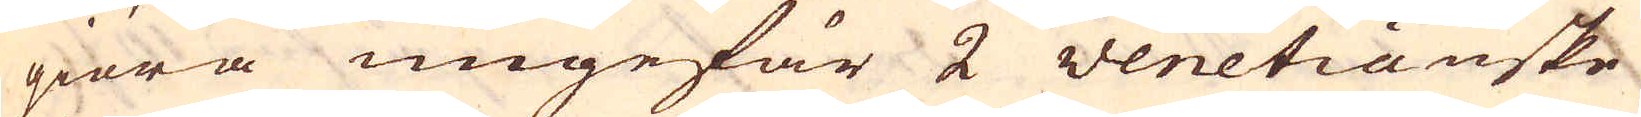giöra ungefär 2 Venetianske
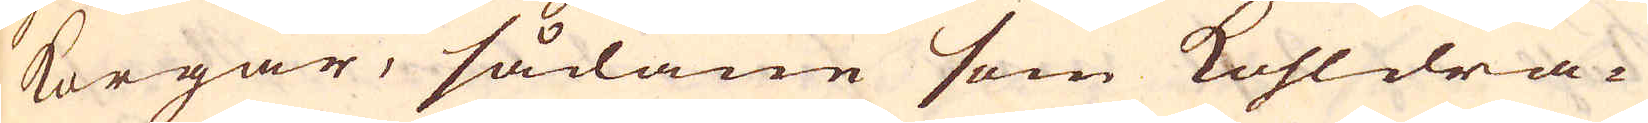korgar, sådane som kohldra-
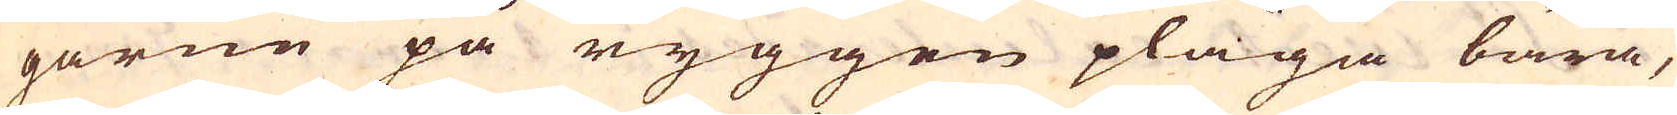garne på ryggen pläga bära,
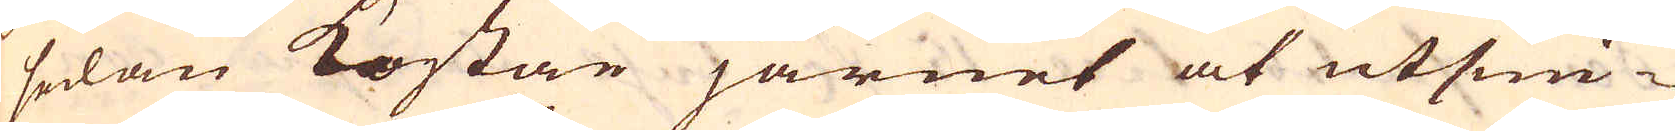sedan kostar järnet at utsmi-
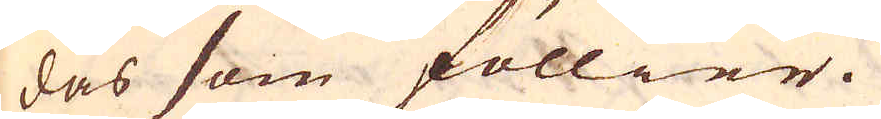das som föllier.
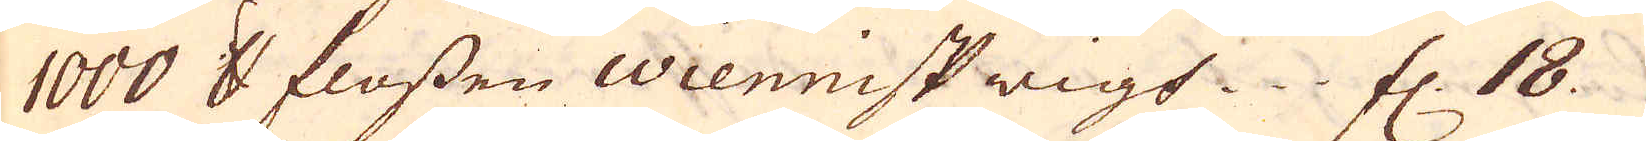1000 skålpund flossen Wiennisk wigt. fl. 18
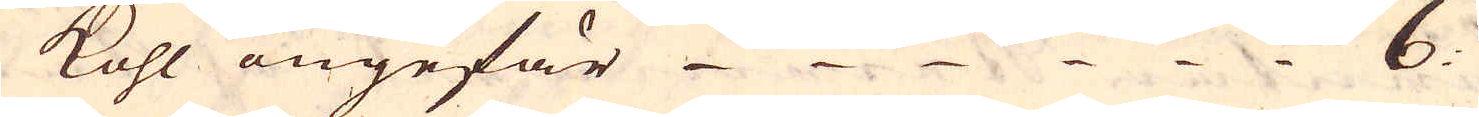kohl ungefär 6
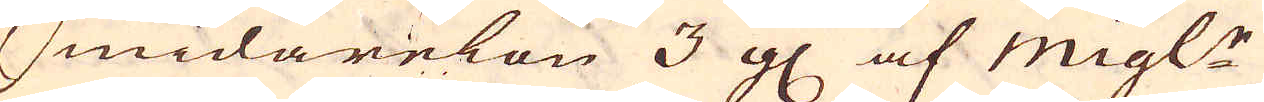Smidarelön 3 gl af migl:r
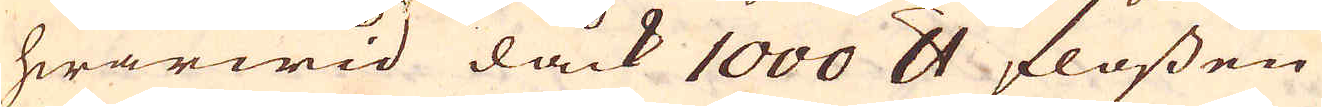hwarwid dåck 1000 skålpund flossen
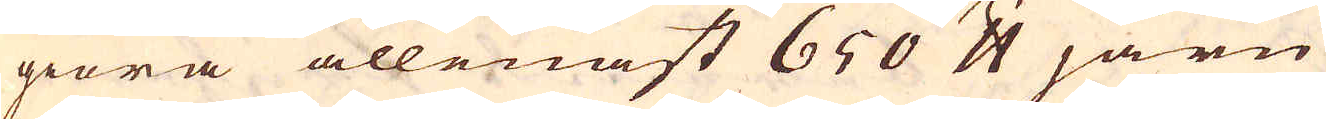giöra allenast 650 skålpund järn
